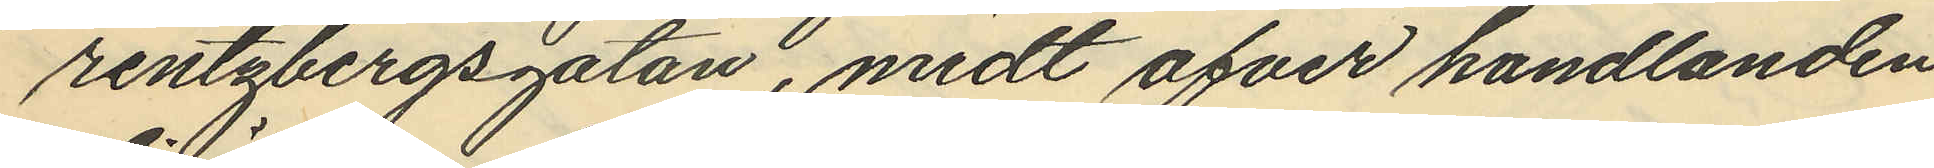rentzbergsgatan, midt ofver handlanden
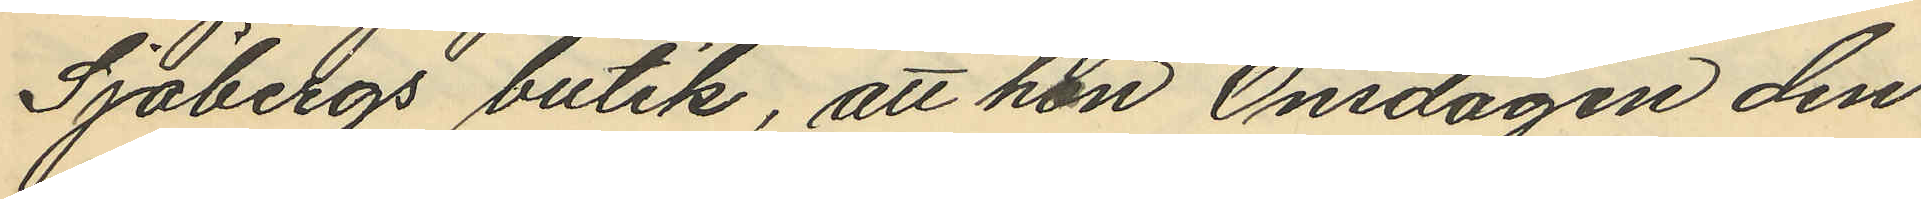Sjöbergs butik, att hon Onsdagen den
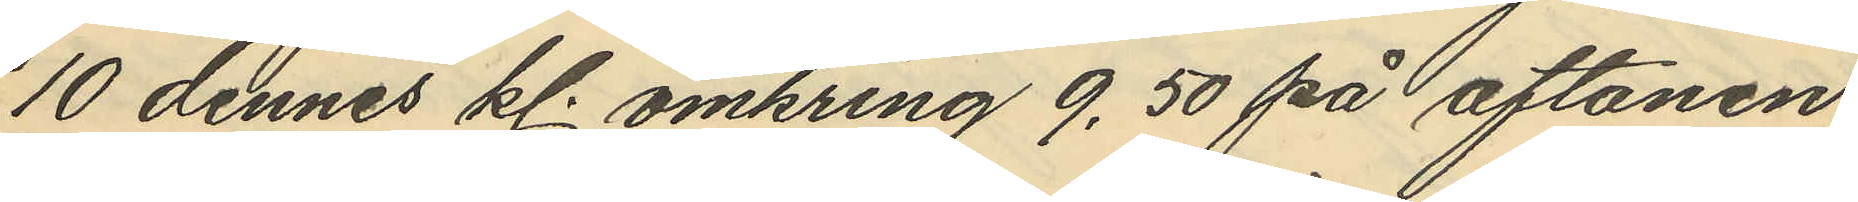10 dennes kl. omkring 9,50 på aftonen
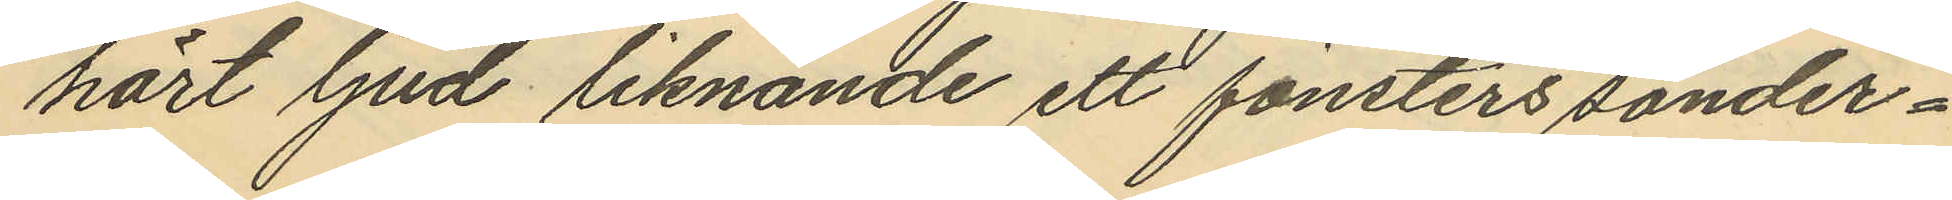hört ljud liknande ett fönsters sönder¬
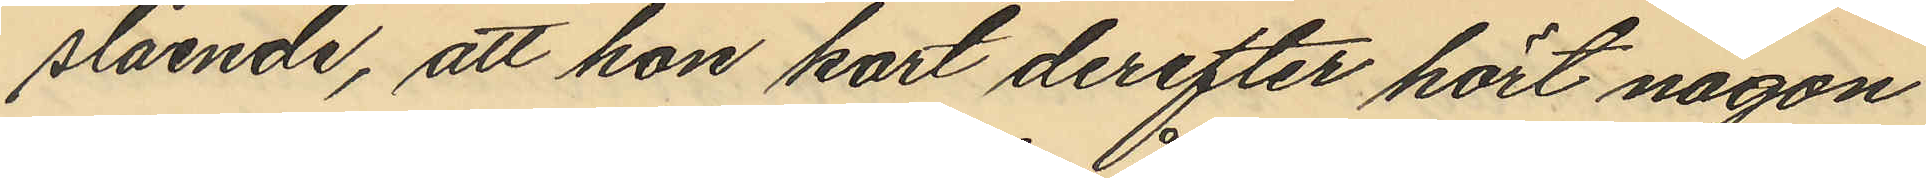slående, att hon kort derefter hört någon
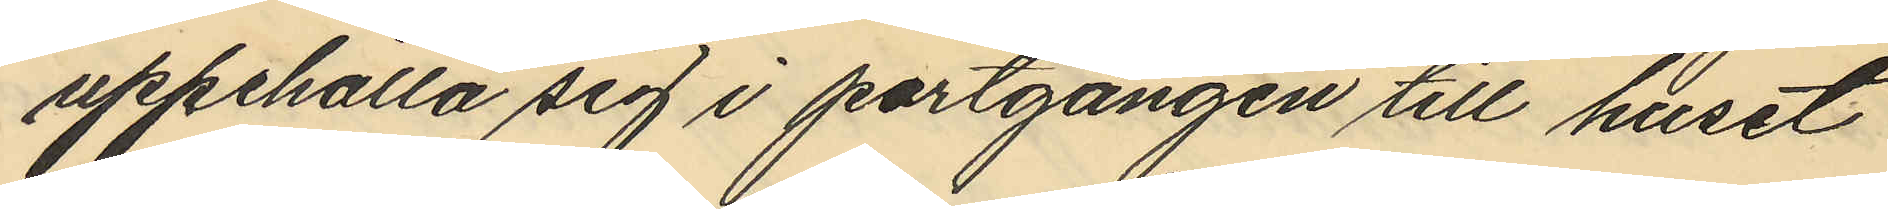uppehålla sig i portgången till huset
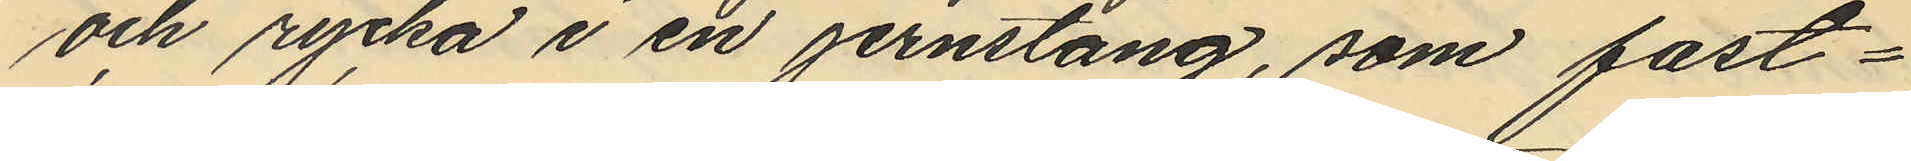och rycka i en jernstång, som fast¬
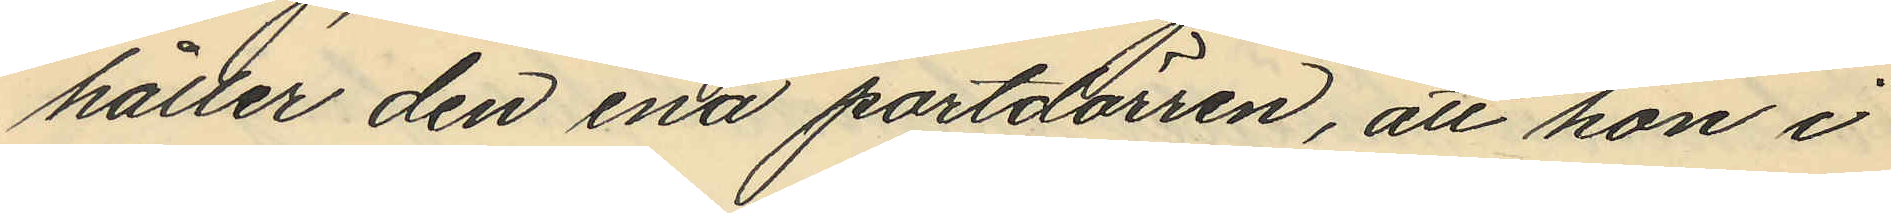håller den ena portdörren, att hon i
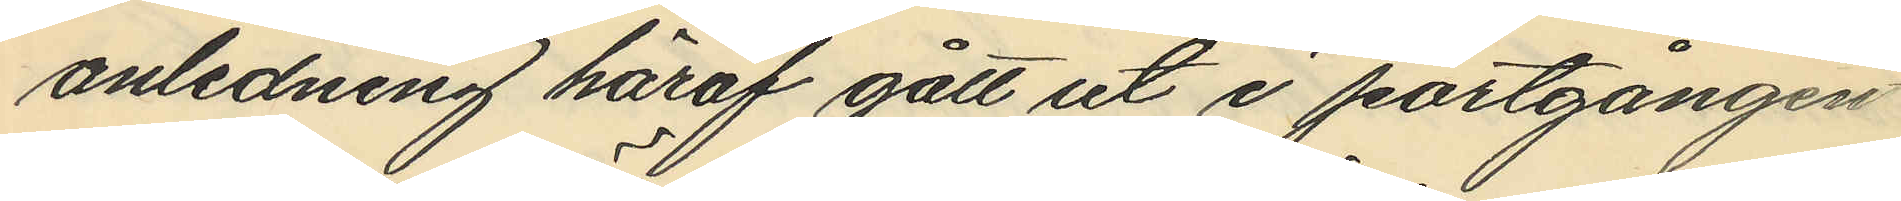anledning häraf gått ut i portgången
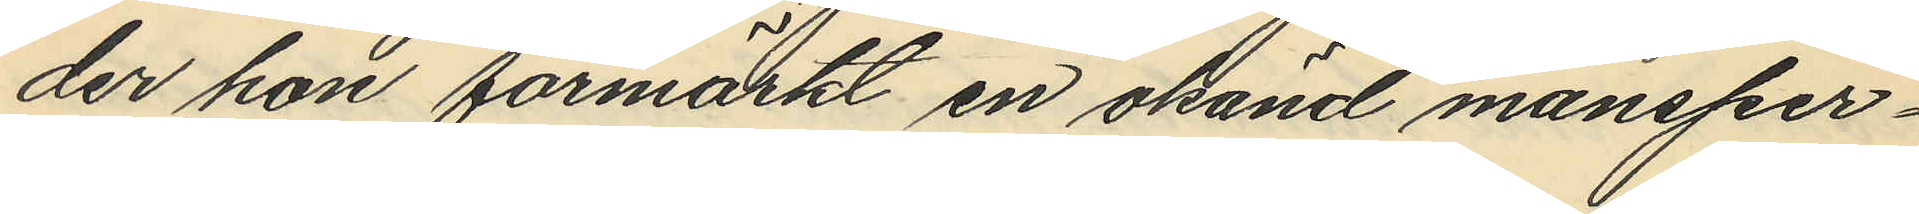der hon förmärkt en okänd mansper¬
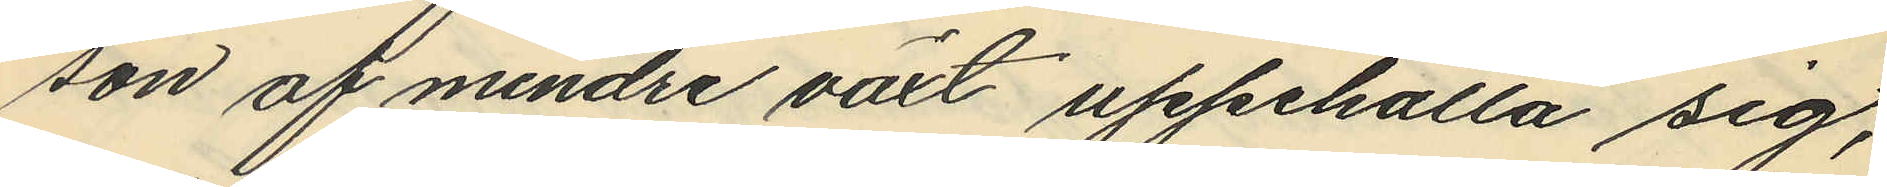son af mindre växt uppehålla sig,
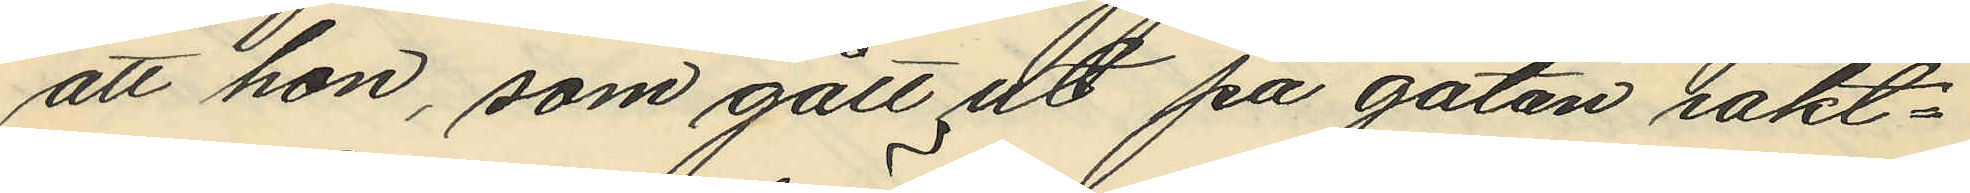att hon, som gått ut på gatan iakt¬
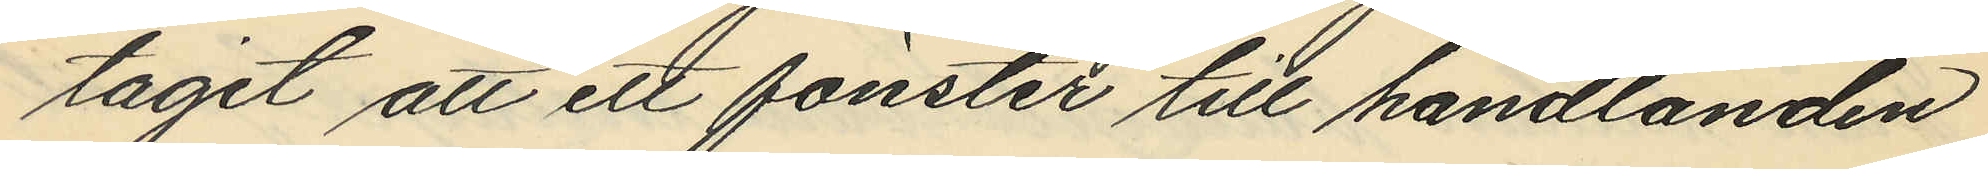tagit att ett fönster till handlanden
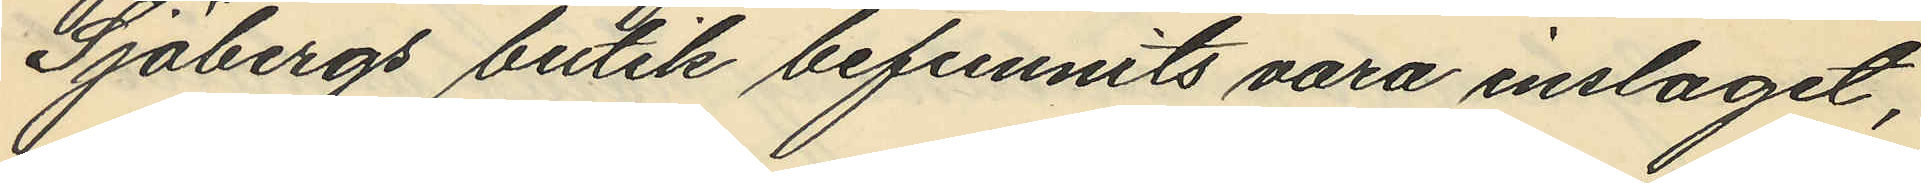Sjöbergs butik befunnits vara inslaget,
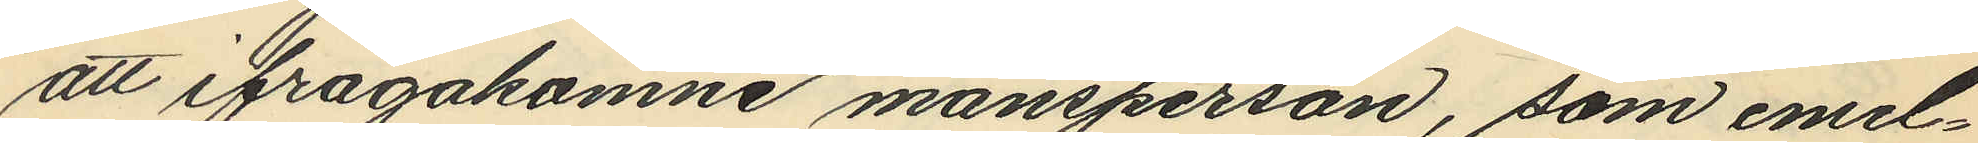att ifrågakomne mansperson, som emel¬
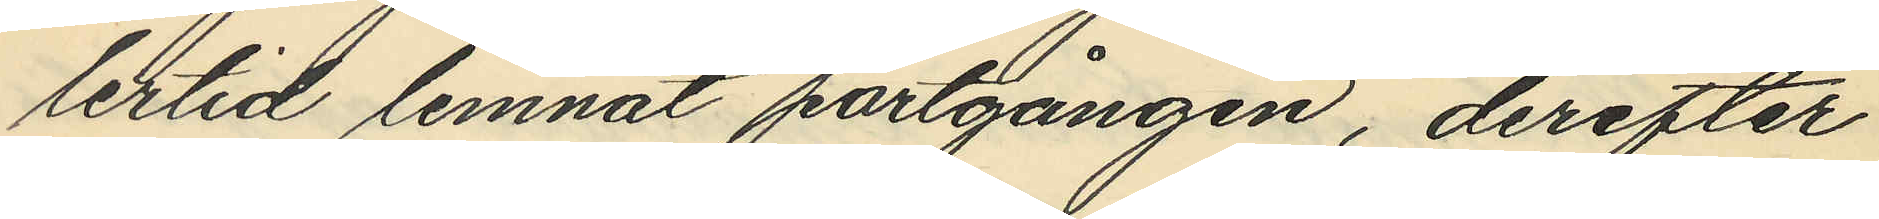lertid lemnat portgången, derefter
